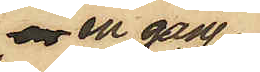en gång
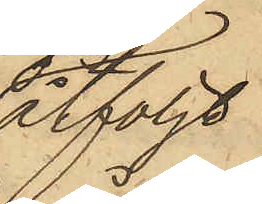åtföljt
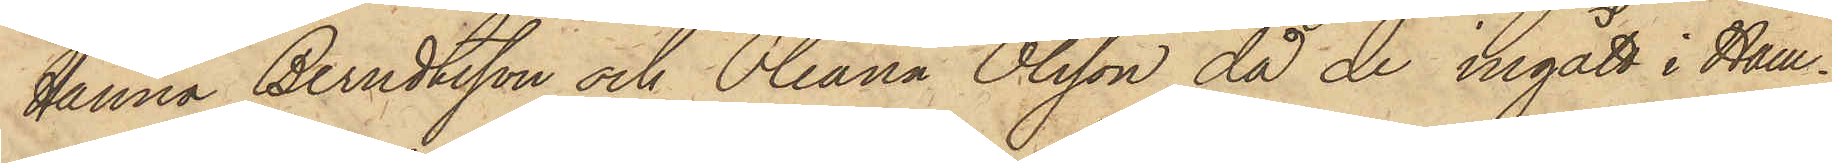Hanna Berndtsson och Oleana Olsson då de ingått i Ham¬
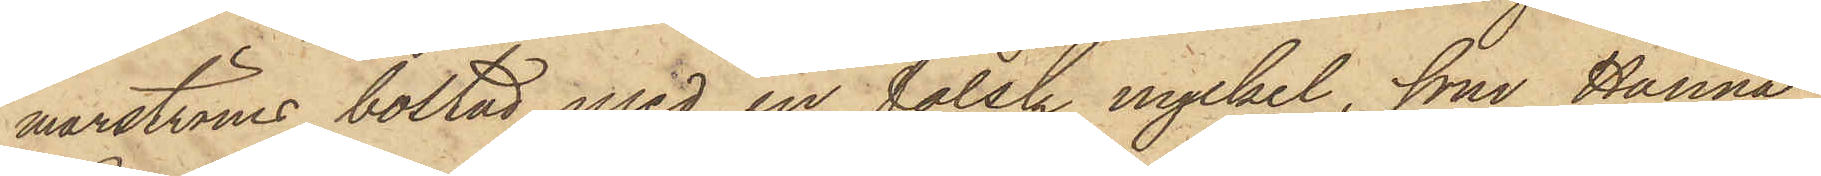marströms bostad med en falsk nyckel, som Hanna
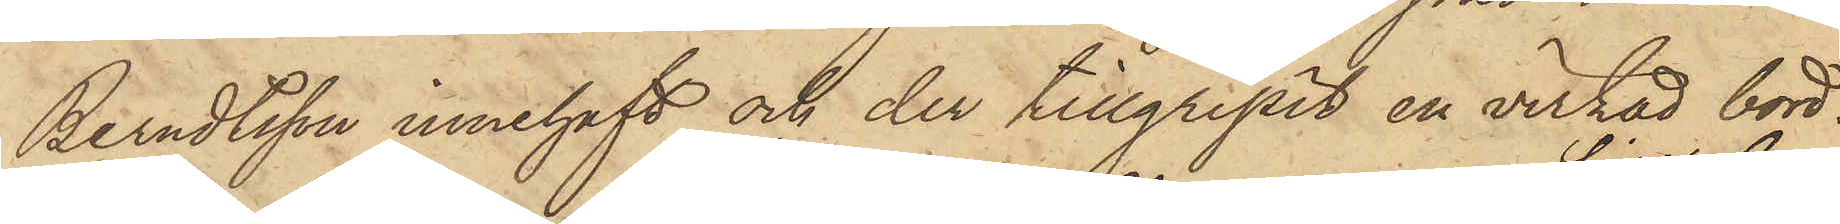Berndtsson innehaft och der tillgripit en virkad bord¬
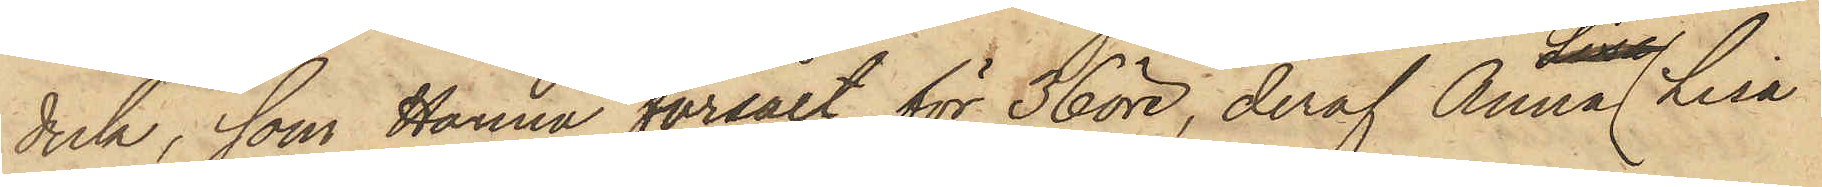duk, som Hanna försålt för 36 öre, deraf Anna Lisa
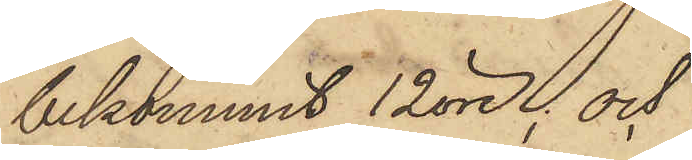bekommit 12 öre; och
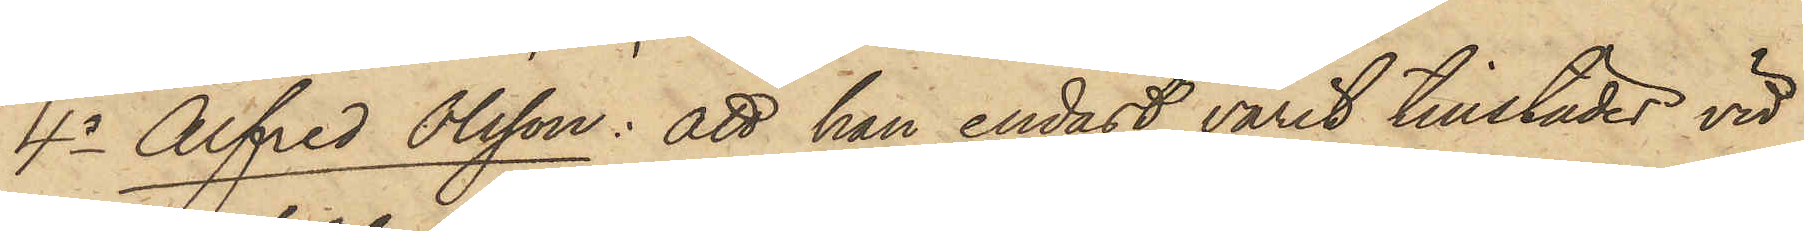4o Alfred Olsson: att han endast varit tillstädes vid
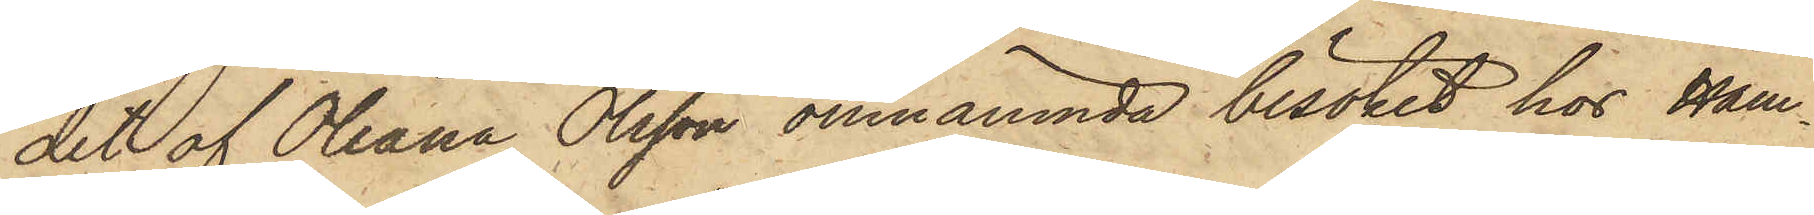det af Oleana Olsson omnämnda besöket hos Ham¬
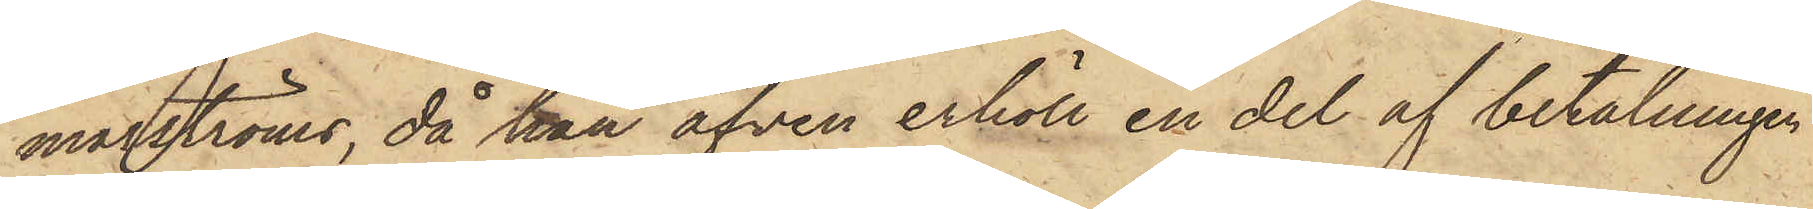marströms, då han äfven erhöll en del af betalningen
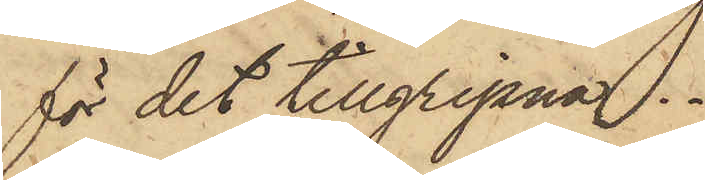för det tillgripna.
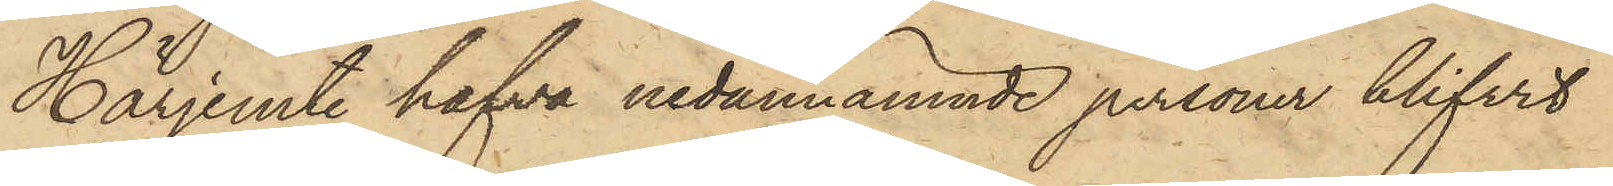Härjemte hafva nedannämnde personer blifvit
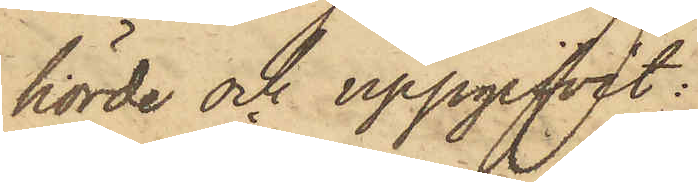hörde och uppgifvit:
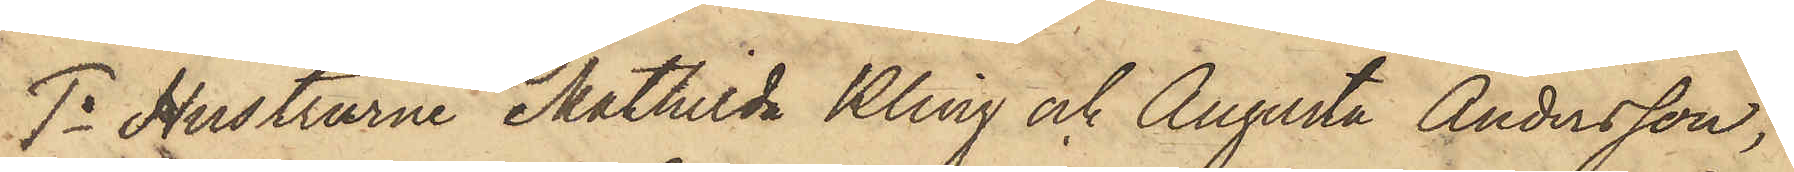1o Hustrurne Mathilda Kling och Augusta Andersson,
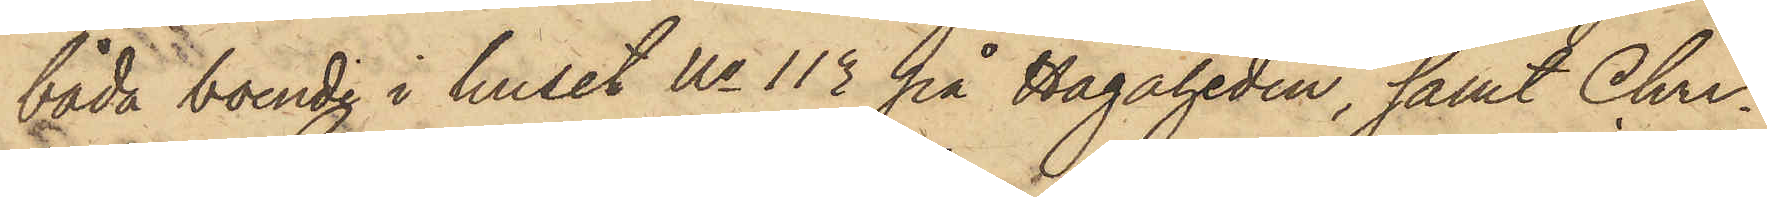båda boende i huset No 113 på Hagaheden, samt Chri¬
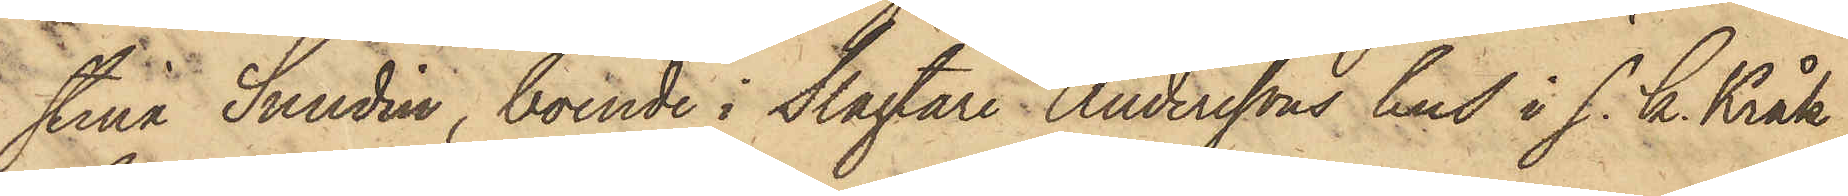stina Sundin, boende i Slagtare Anderssons hus i s. k. Kråk¬
